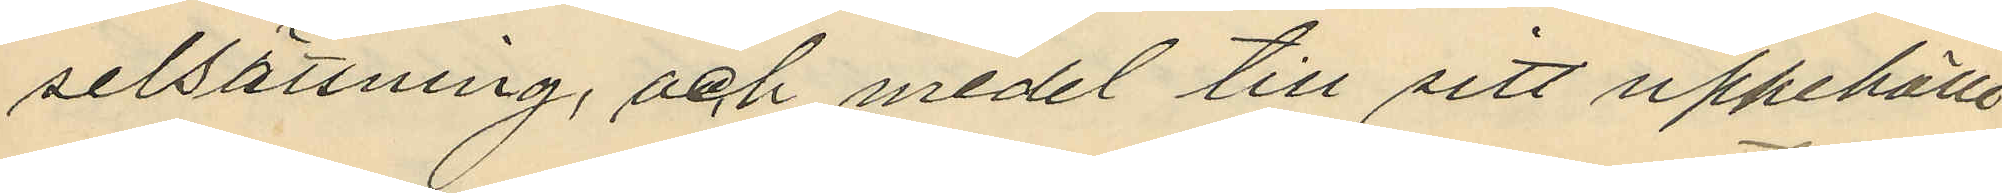selsättning och medel till sitt uppehälle
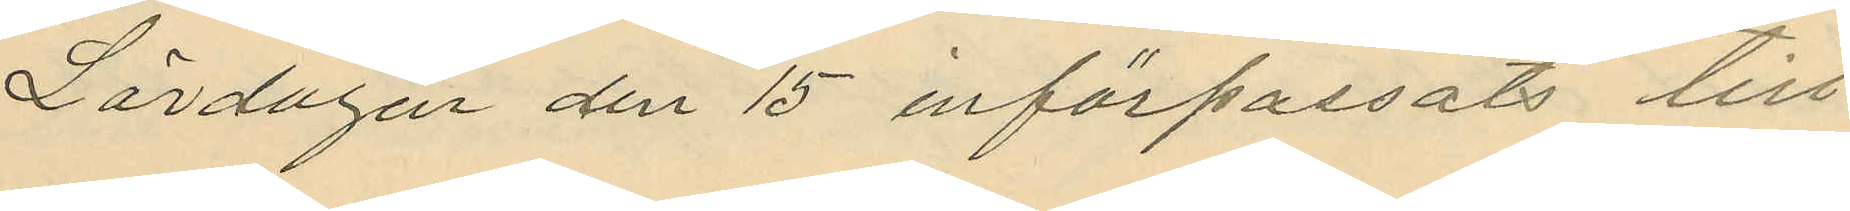Lördagen den 15 införpassats till
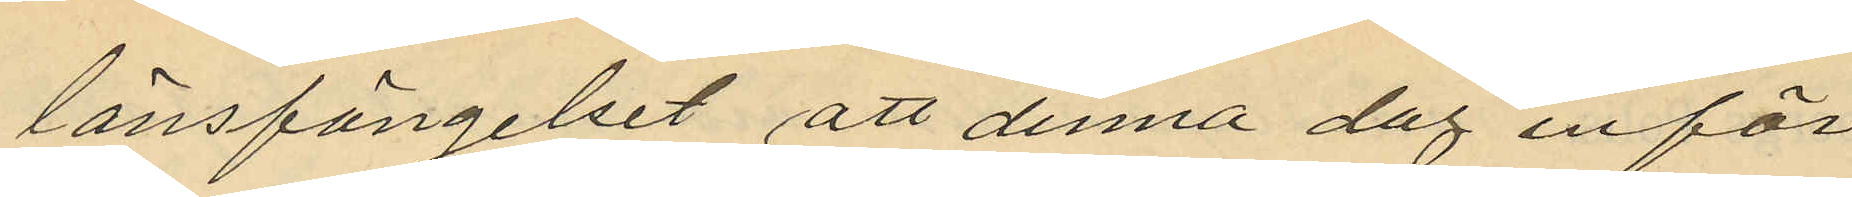länsfängelset att denna dag inför
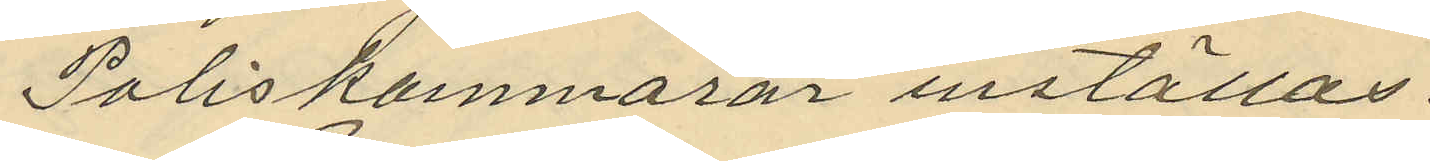Poliskammaren inställas.
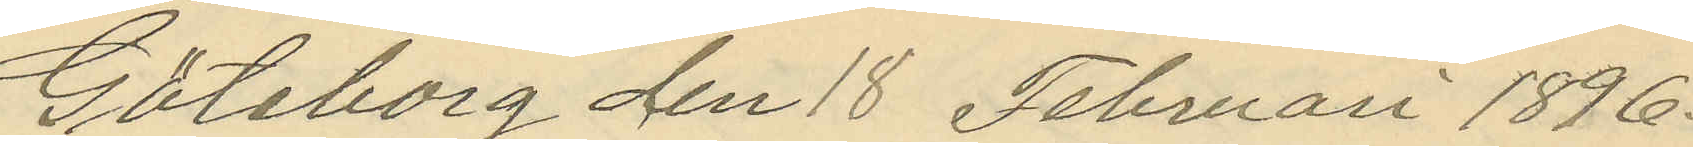Göteborg den 18 Februari 1896.
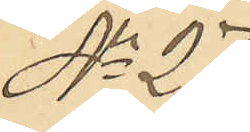No 27
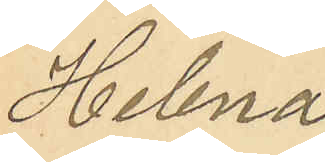Helena
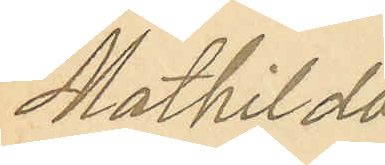Mathilda
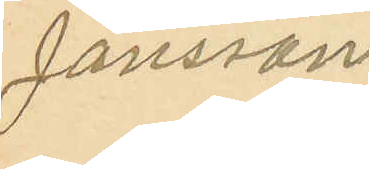Jansson
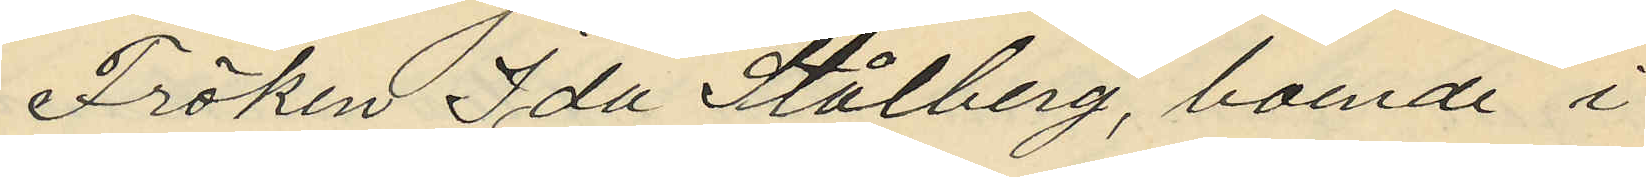Fröken Ida Stålberg, boende i
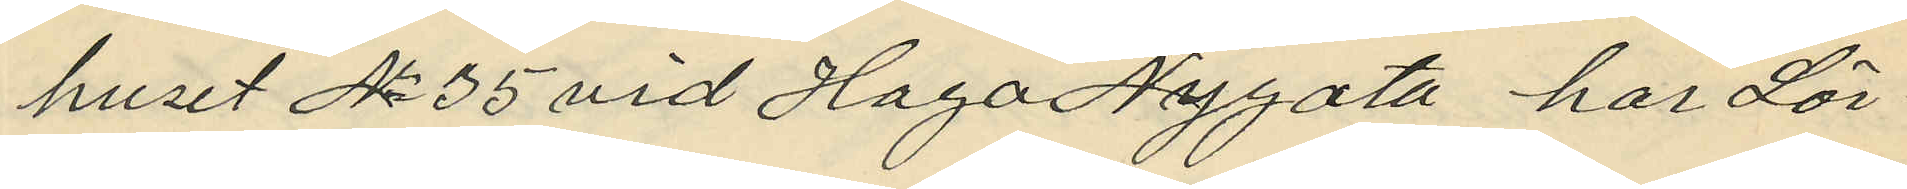huset No 35 vid Haga Nygata har Lör¬
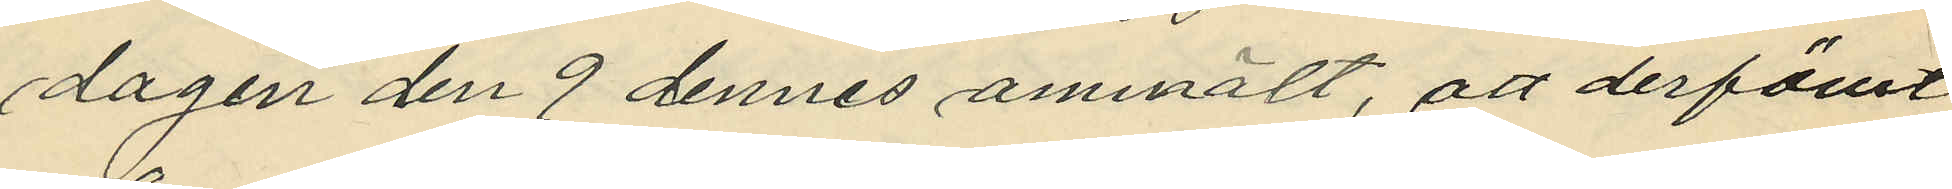dagen den 9 dennes anmält, att derförut
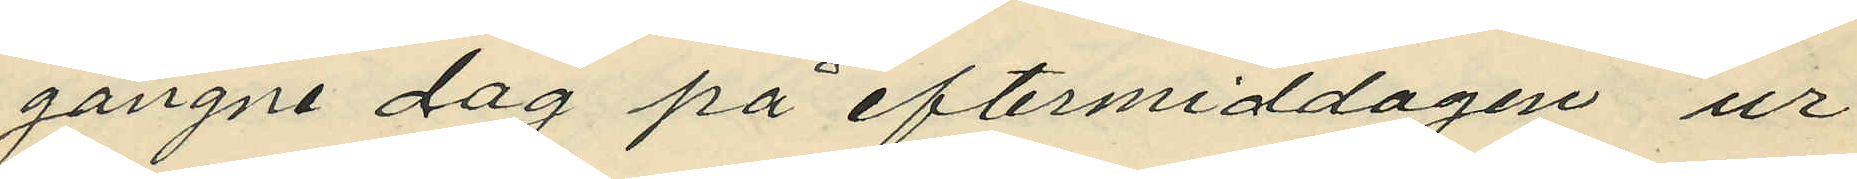gångne dag på eftermiddagen ur
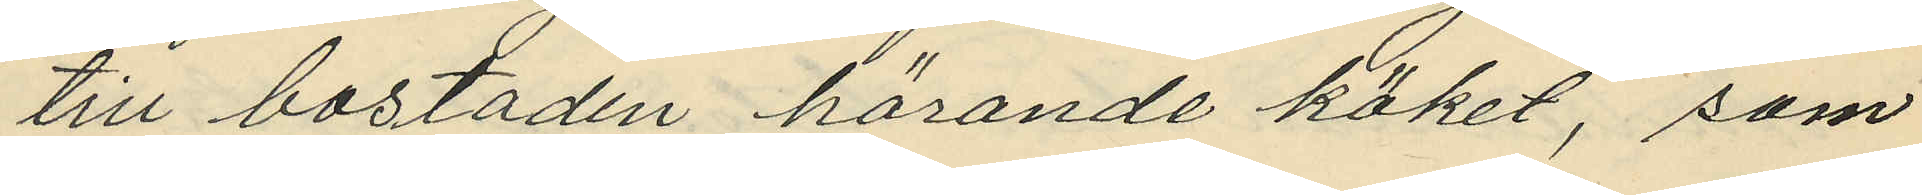till bostaden hörande köket, som
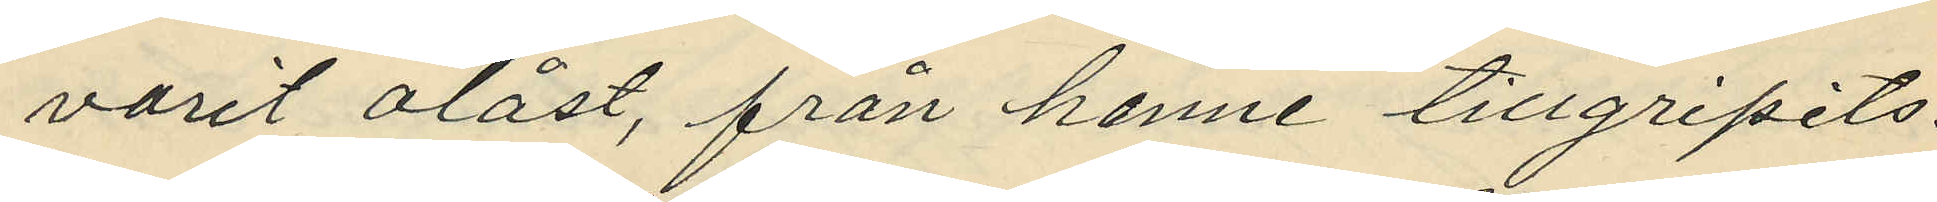varit olåst, från henne tillgripits:
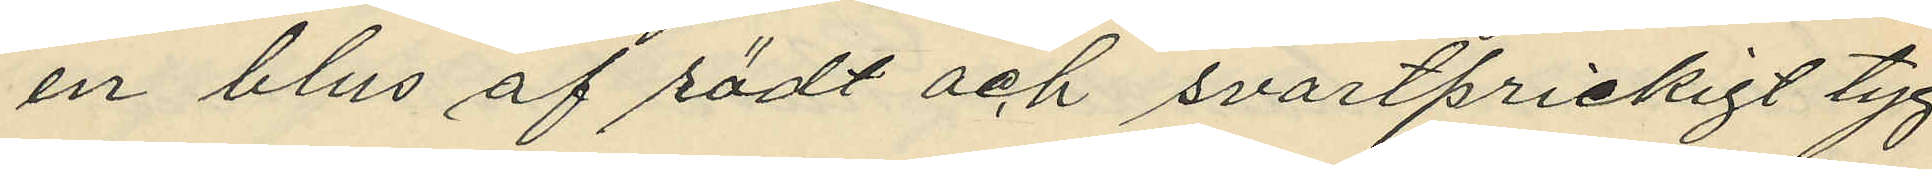en blus af rödt och svartprickigt tyg
